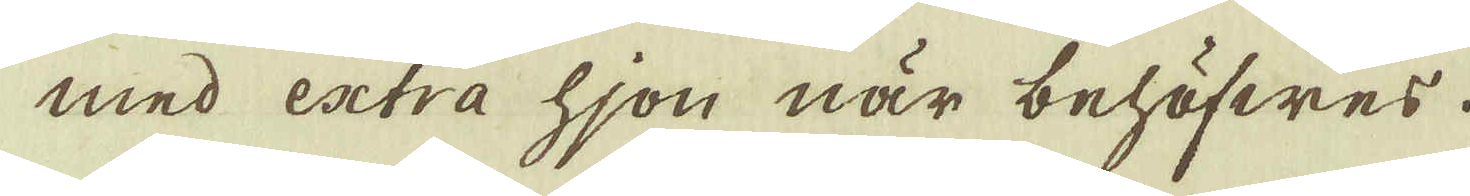med extra hjon när behöfwes.
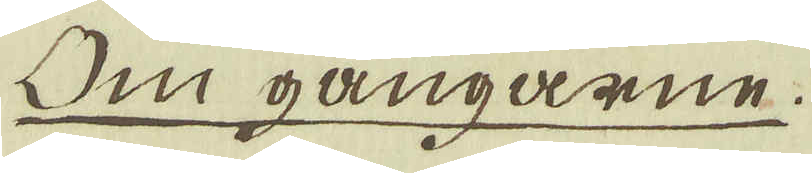Om gångarne.
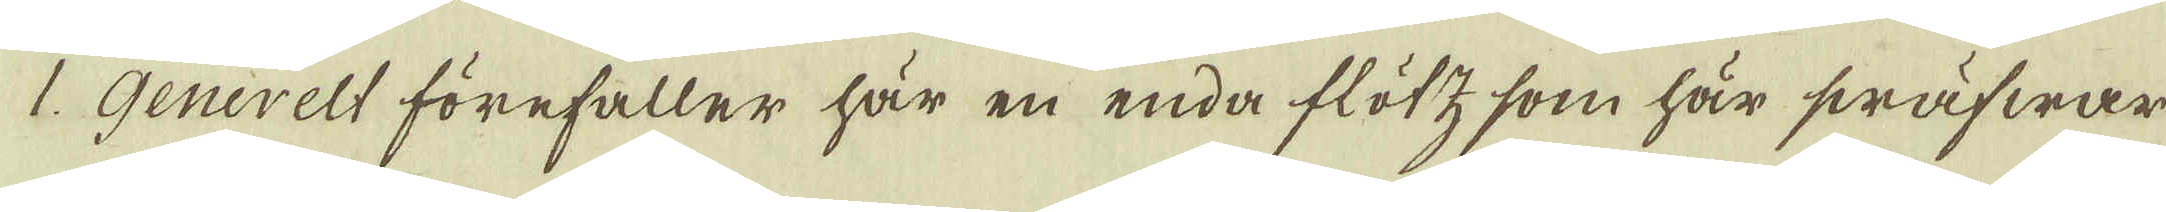1. Generelt förefaller här en enda flötz, som här swäfwar
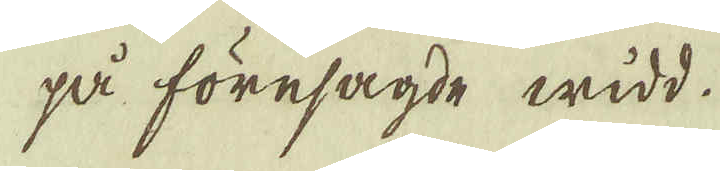på föresagde widd.
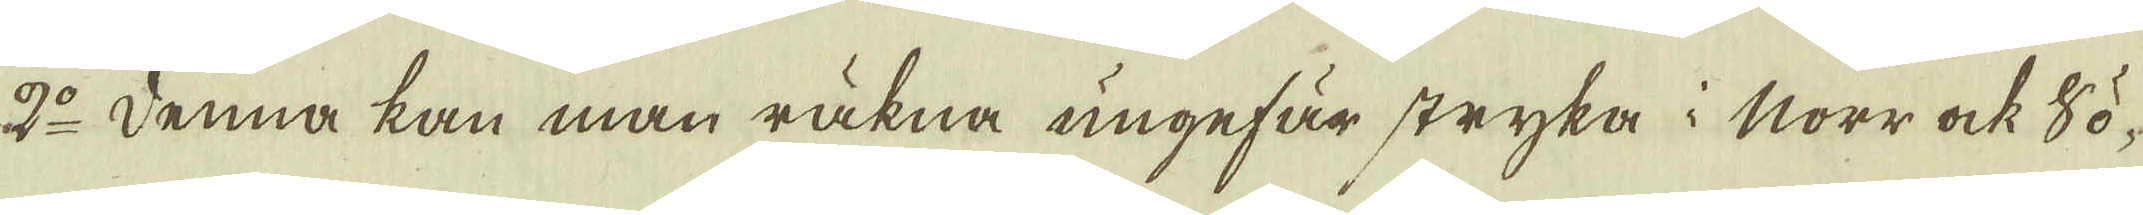2:o Denna kan man räkna ungefär stryka i Norr ock Sö-
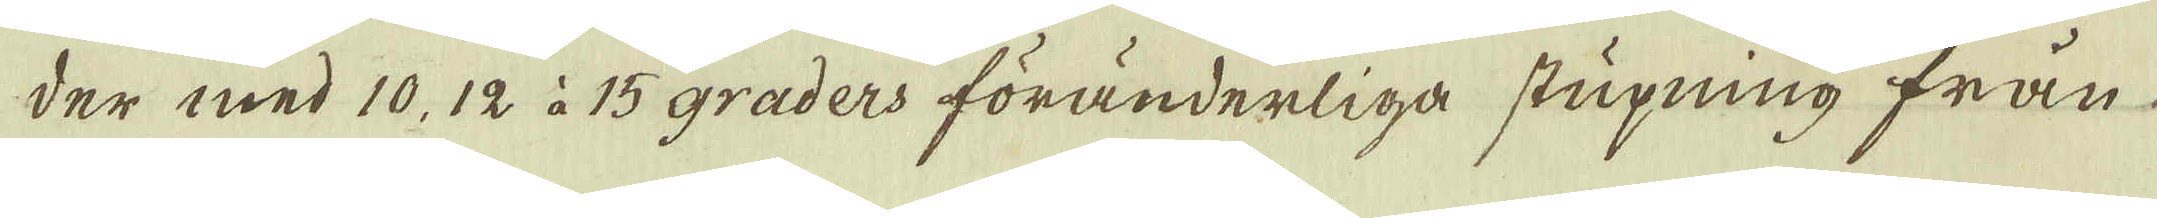der med 10, 12 à 15 graders föränderliga stupning från
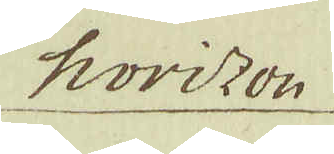horizon
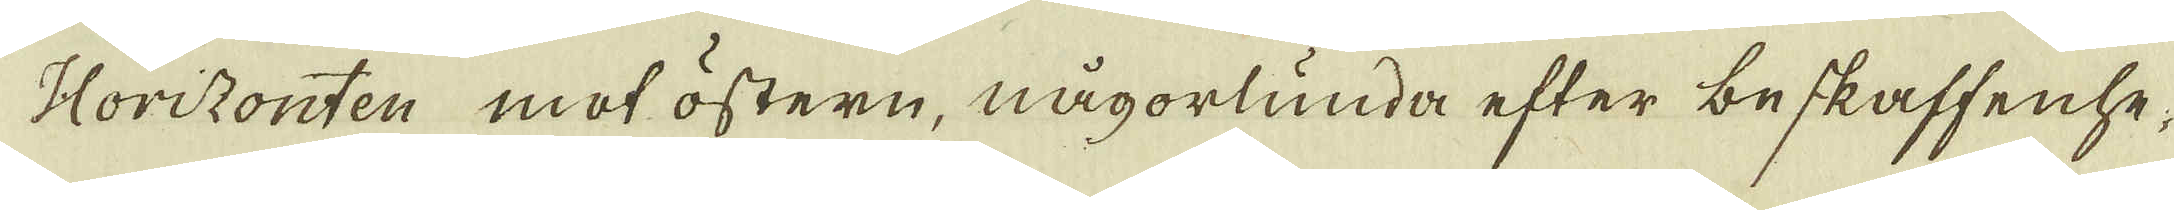Horizonten mot östern, någorlunda efter beskaffenhe-
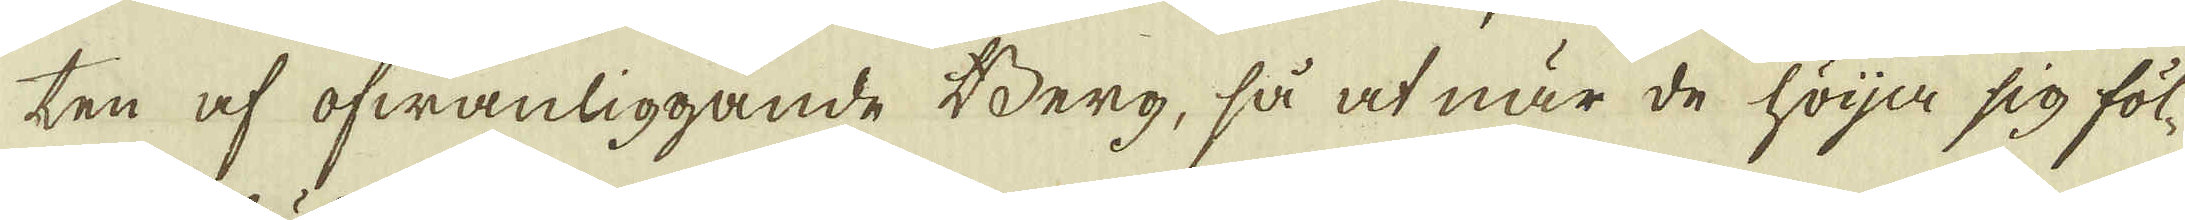ten af ofwanliggande Berg, så at när de höja sig föl-
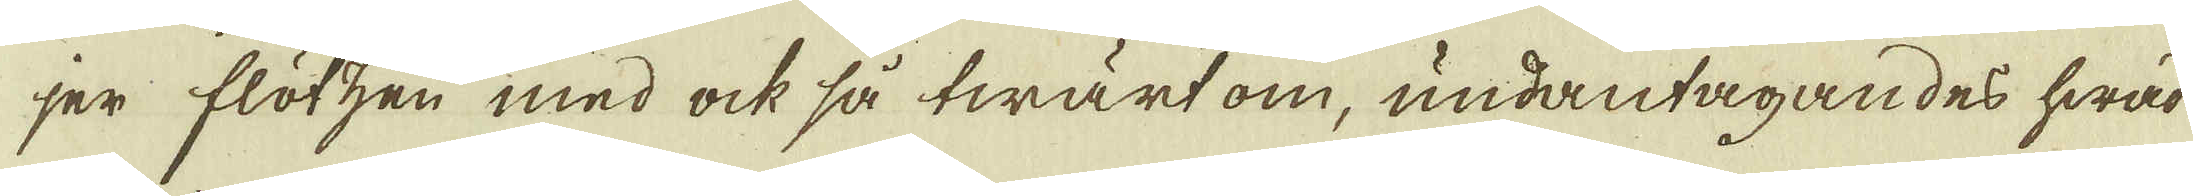jer flötzen med ock så twärt om, undantagandes hwad
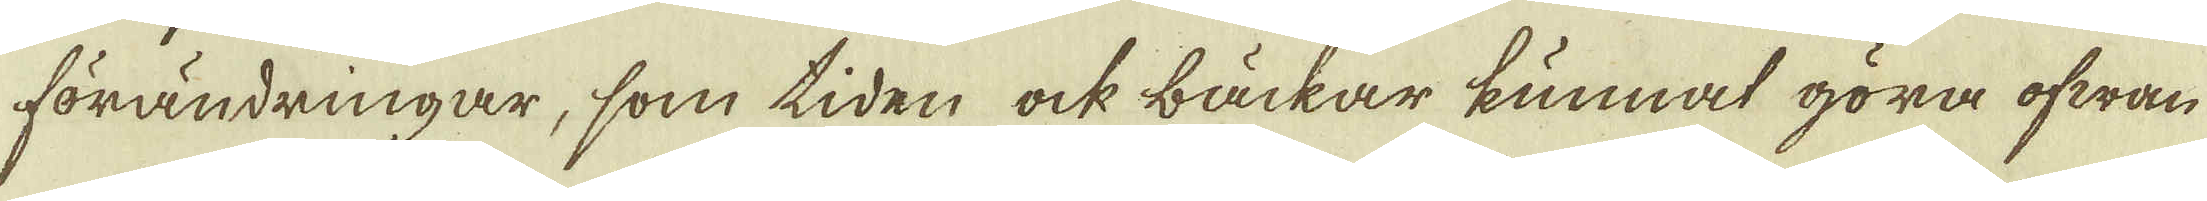förändringar, som tiden ock bäckar kunnat göra ofwan
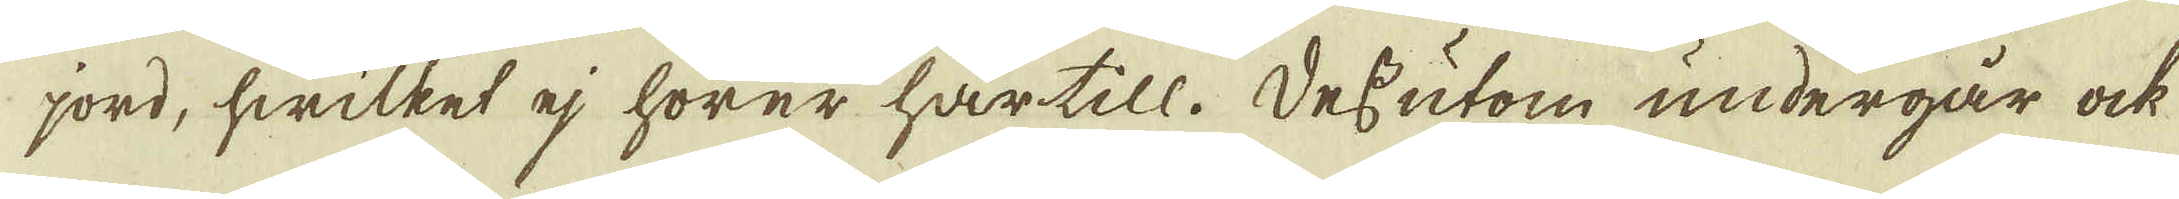jord, hwilket ej hörer härtill. Dessutom undergår ock
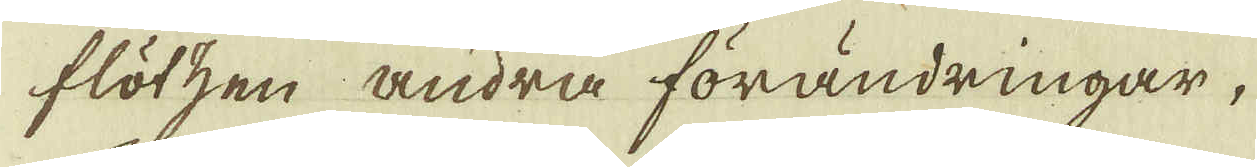flötzen andra förändringar,
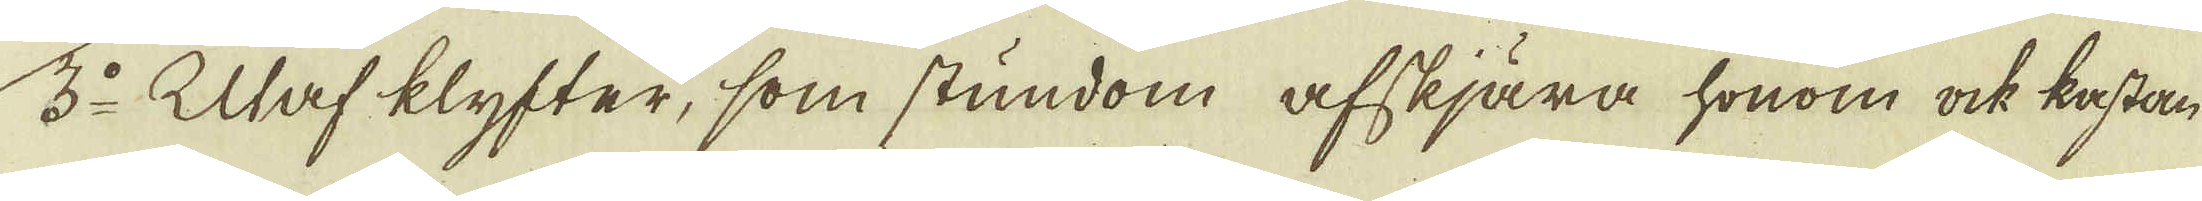3:o Utaf klyfter, som stundom afskjära honom ock kastar
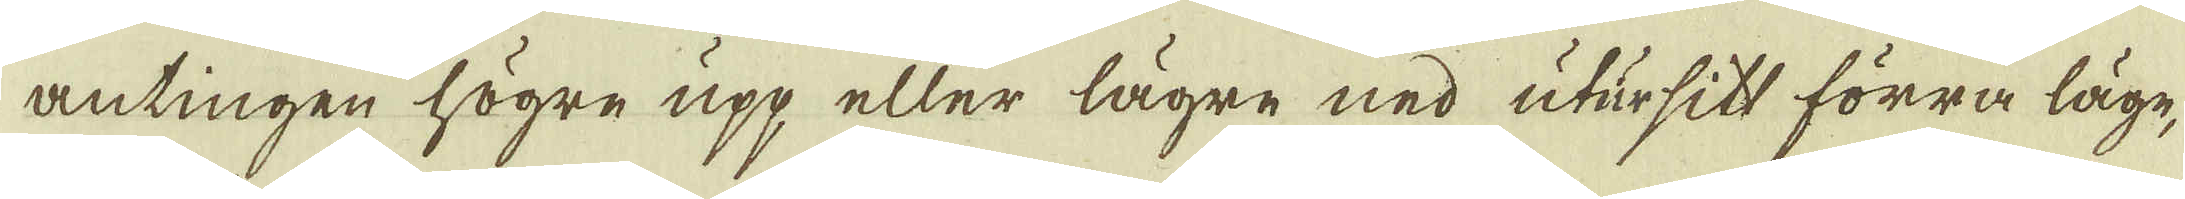antingen högre upp eller lägre ned utur sitt förra läge,
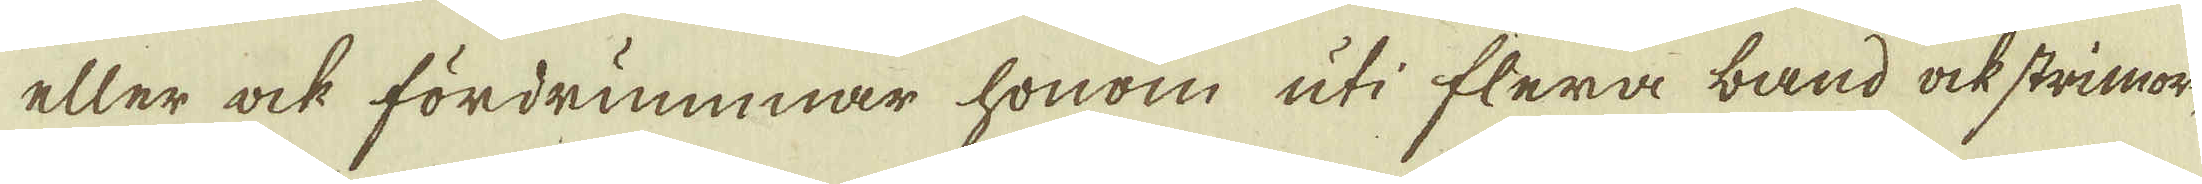eller ock fördrummar honom uti flera band ock strimor,
